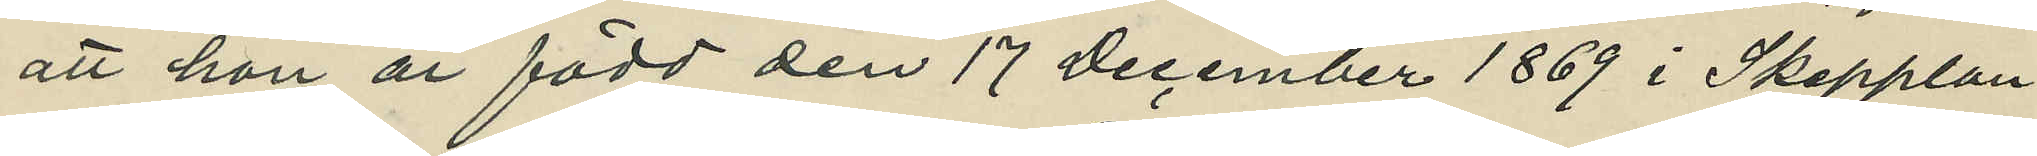att hon är född den 17 December 1869 i Skepplan¬
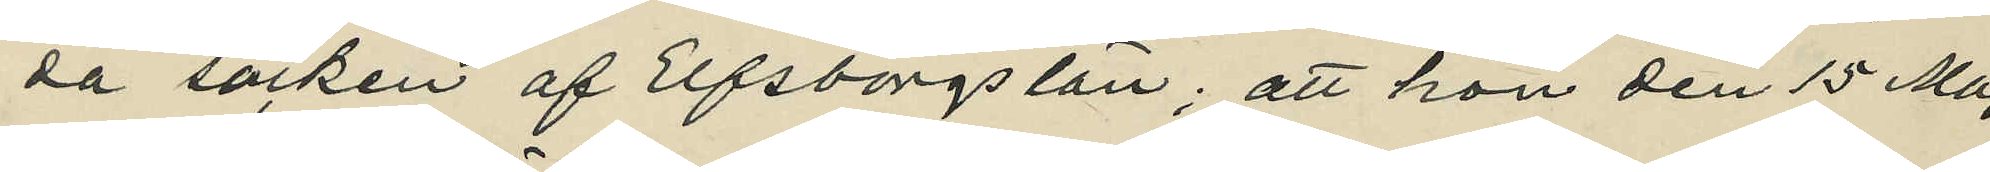da socken af Elfsborgs län; att hon den 15 Maj
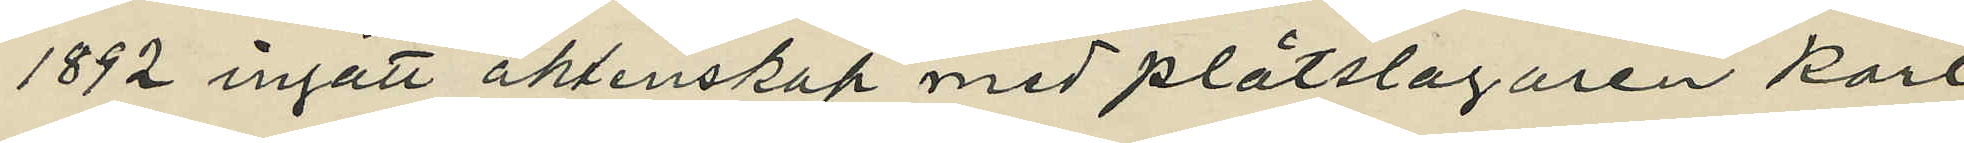1892 ingått äktenskap med plåtslagaren Karl
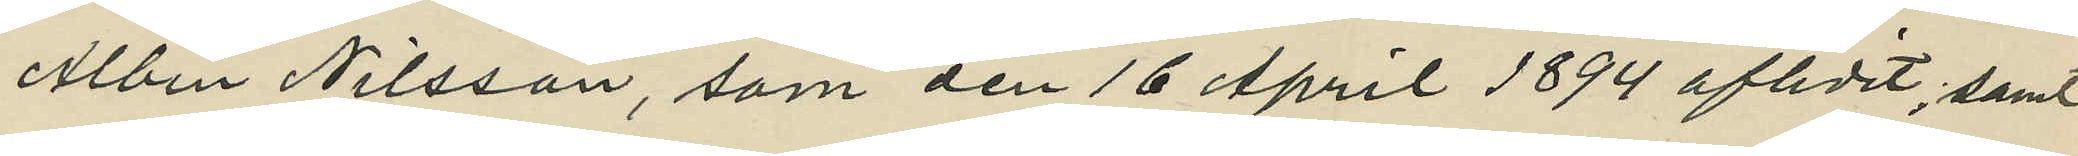Albin Nilsson, som den 16 April 1894 aflidit; samt
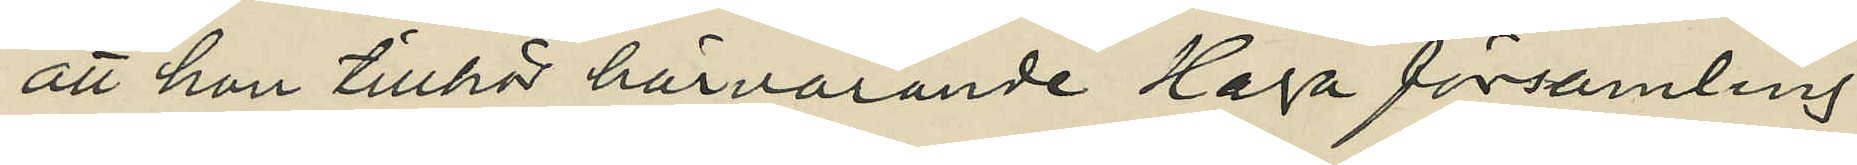att hon tillhör härvarande Haga församling.
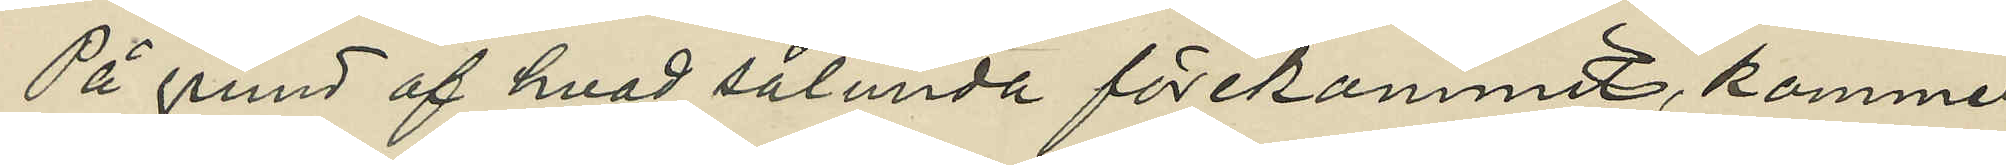På grund af hvad sålunda förekommit, kommer
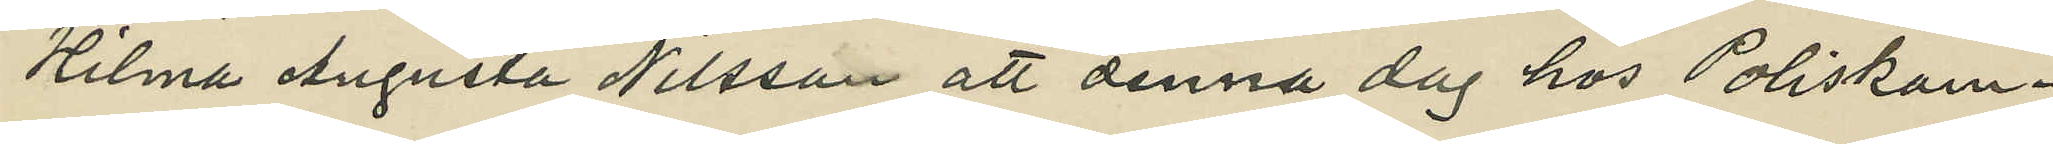Hilma Augusta Nilsson att denna dag hos Poliskam¬
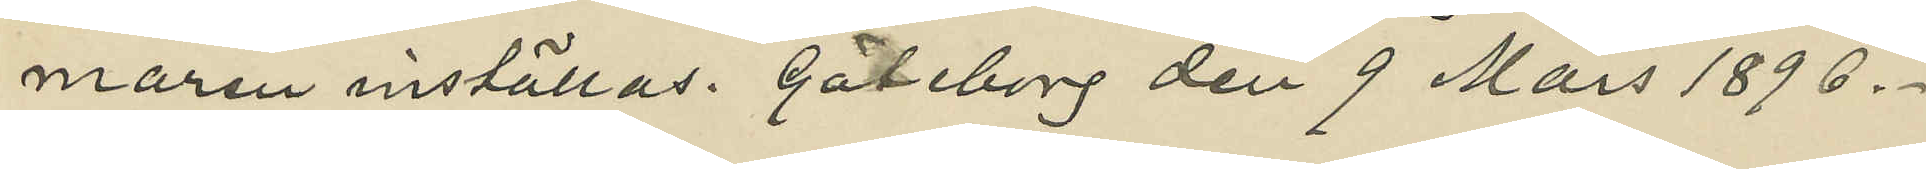maren inställas. Göteborg den 9 Mars 1896.
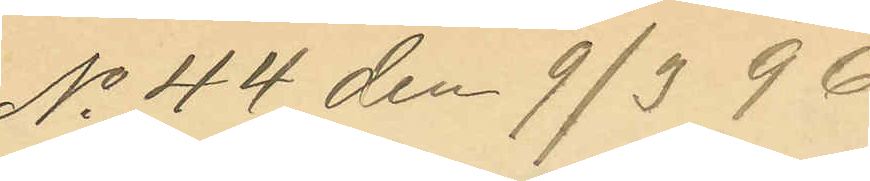No 44 den 9/3 96.
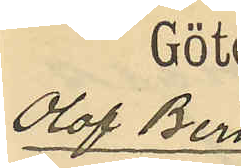Olof Bern¬
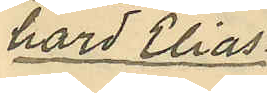hard Elias¬
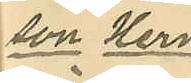son Hern¬
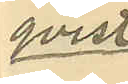qvist
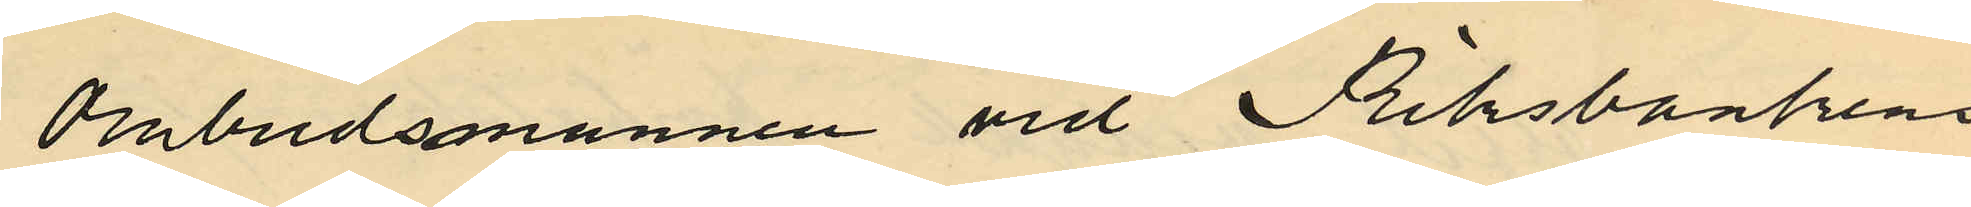Ombudsmannen vid Riksbankens
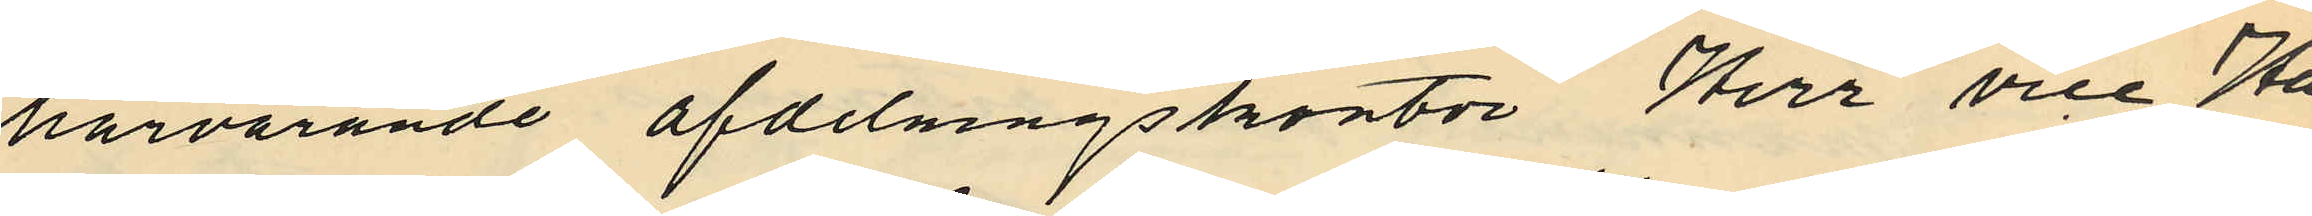härvarande afdelningskontor Herr vice Hä¬
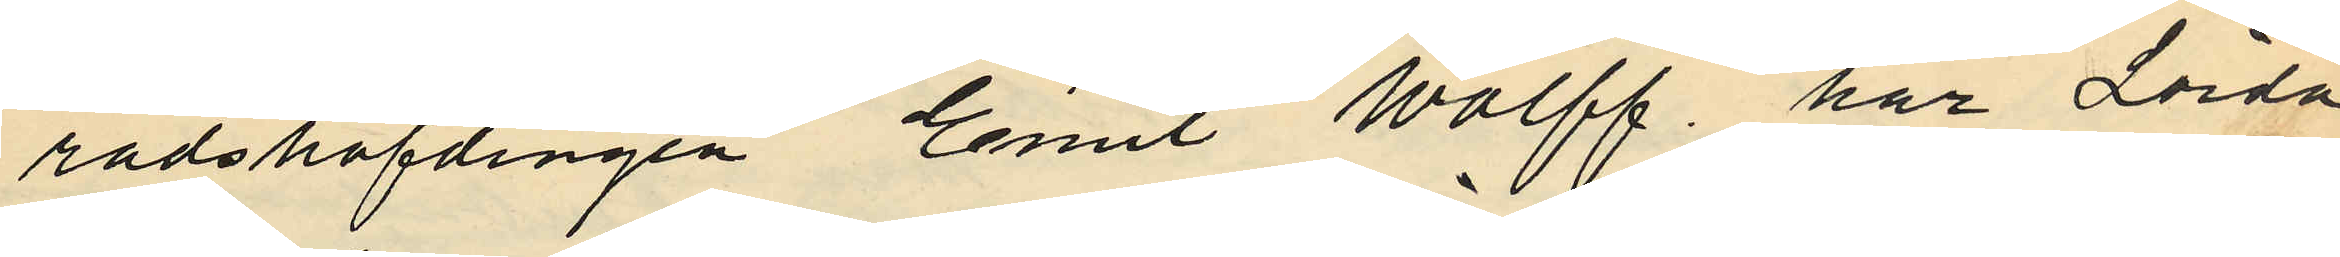radshöfdingen Emil Wolff, har Lörda¬
